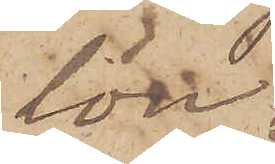lön.
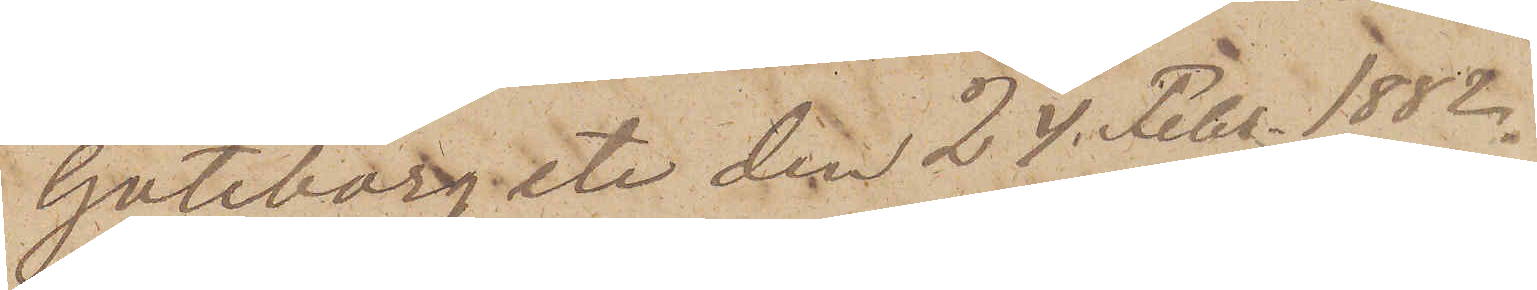Göteborg etc. den 24 Febr. 1882.
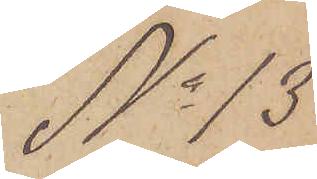No 13.
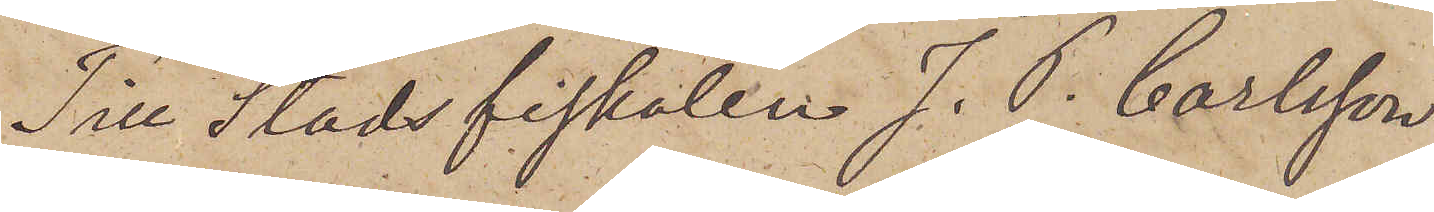Till Stadsfiskalen J. P. Carlsson
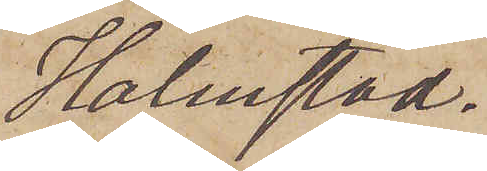Halmstad.
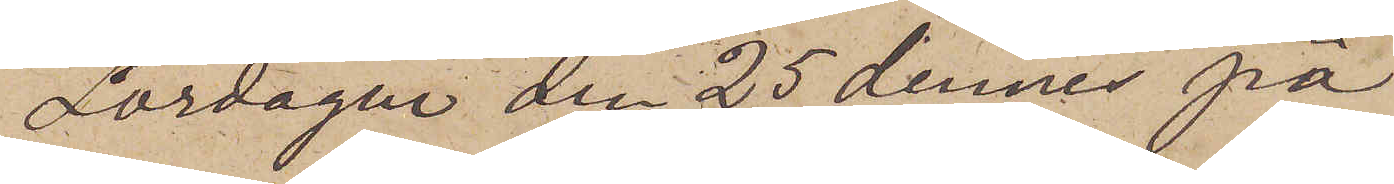Lördagen den 25 dennes på
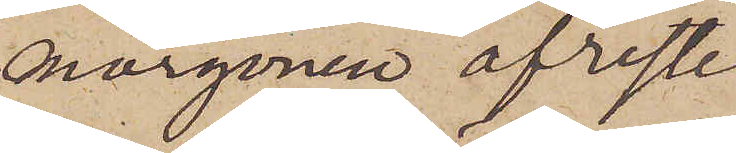morgonen afreste
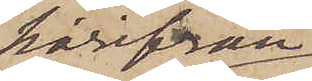härifrån
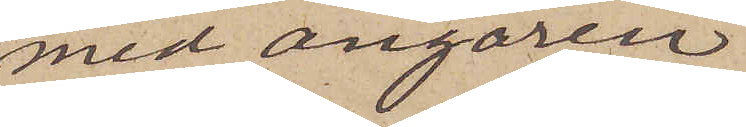med ångaren
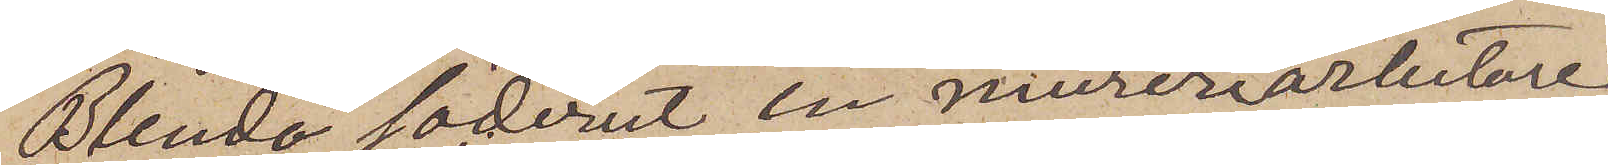Blenda söderut en mureriarbetare
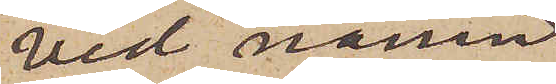vid namn
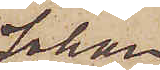Johan
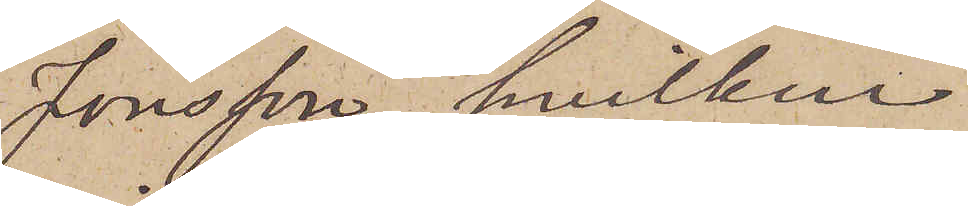Jonsson, hvilken
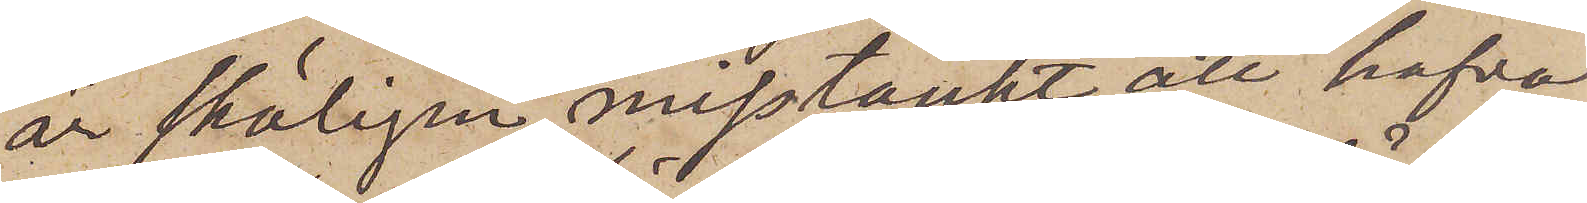är skäligen misstänkt att hafva
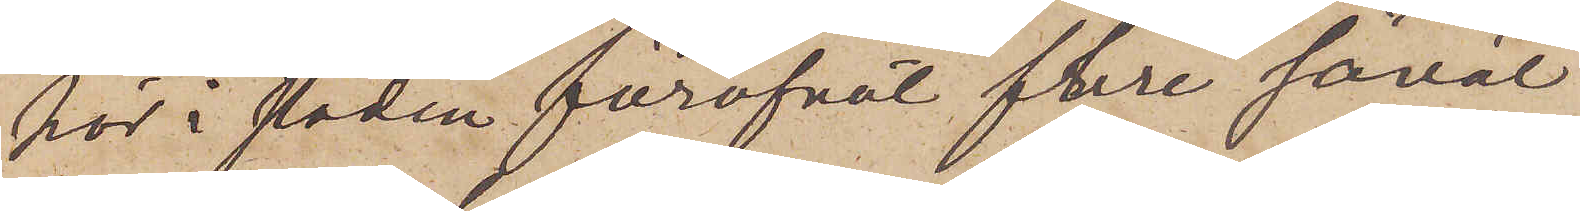här i staden föröfvat flere såväl
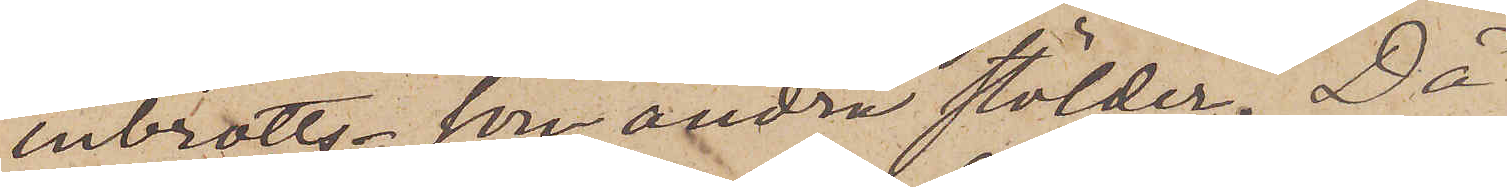inbrotts- som andra stölder. Då
